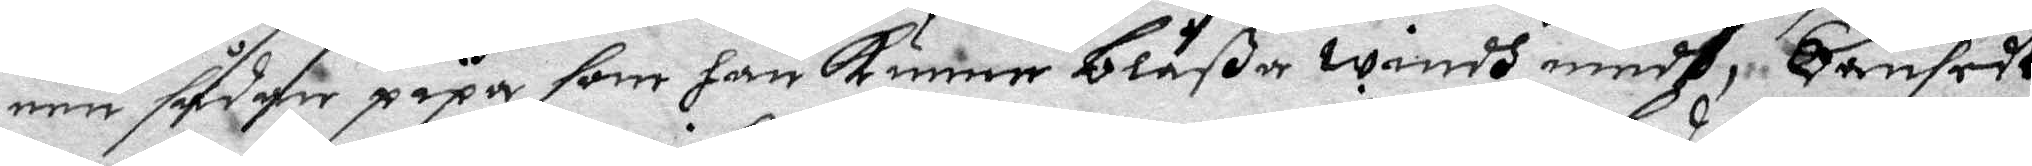een sådan pipa som han kunne blåßa windh medh, oansedt
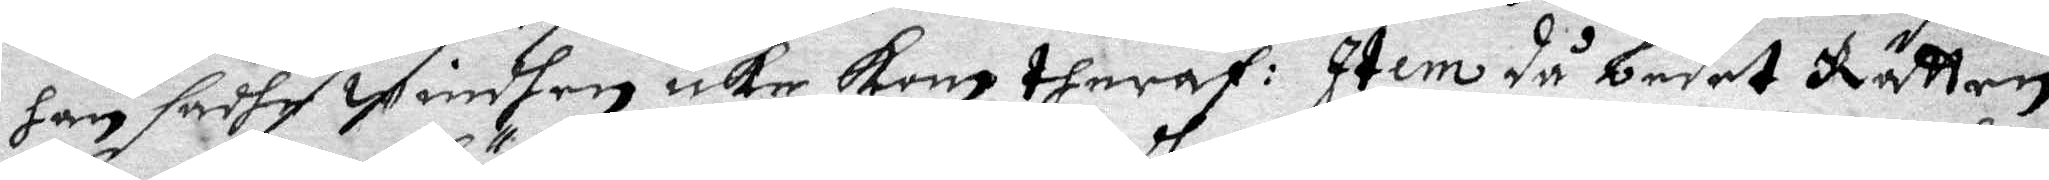han sadhe winden icke kom thraf: Item då bedet Rätten
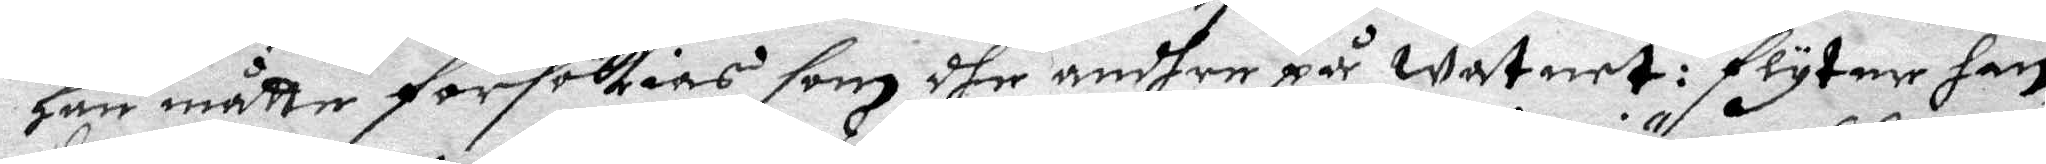han måtte försökias som dher andhre på watnet: flyter han
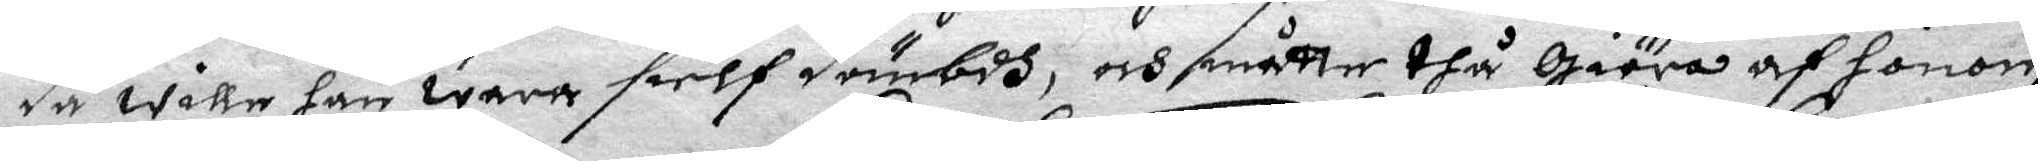då wille han wara sielf dömbdh, och måtte dhå giöra af honom
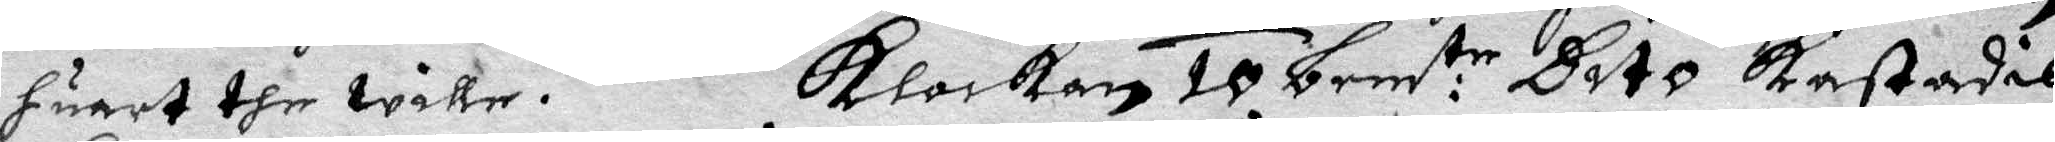huart dhe wille. Klockan 10 bem:te Dito kastades 
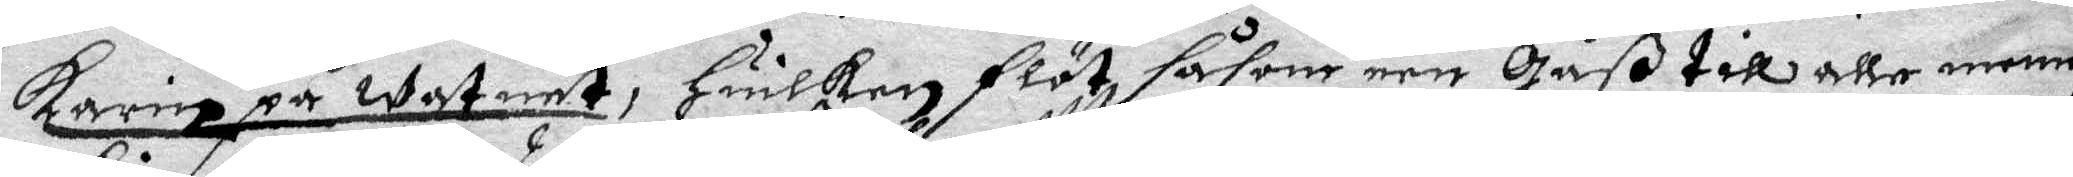Karin på watnet, Huilken flöt såsom een Gåß till alle menni¬
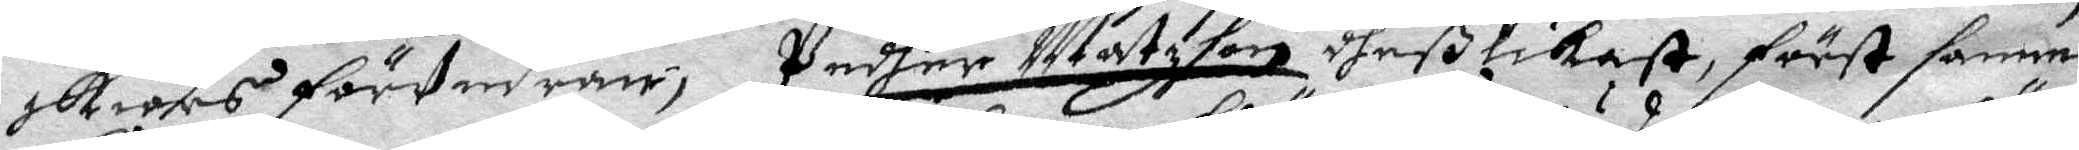skiors förundran; Pedher Matzson dheß likest, först samma¬
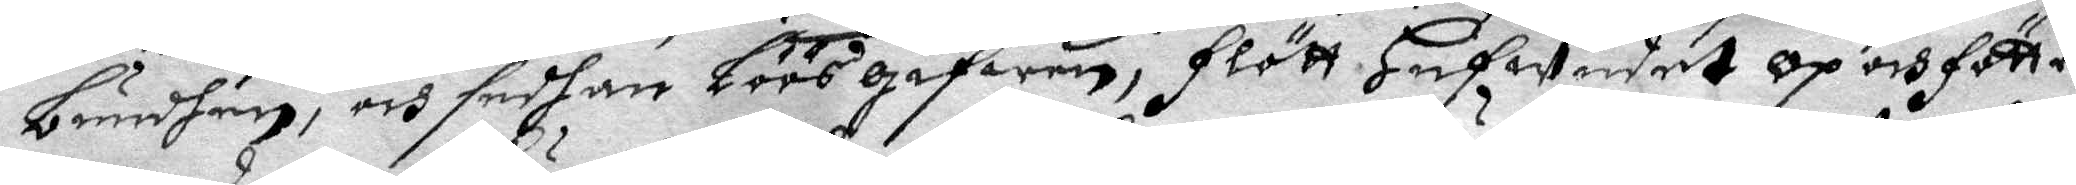bundhen, och sedhan löösgifwen, flött hufwudet op och fötter¬
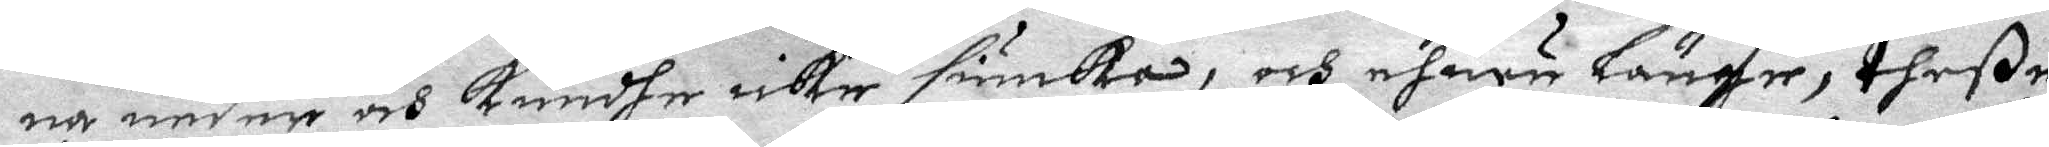na neder och kundhe icke siunka, och ehuru länge theße
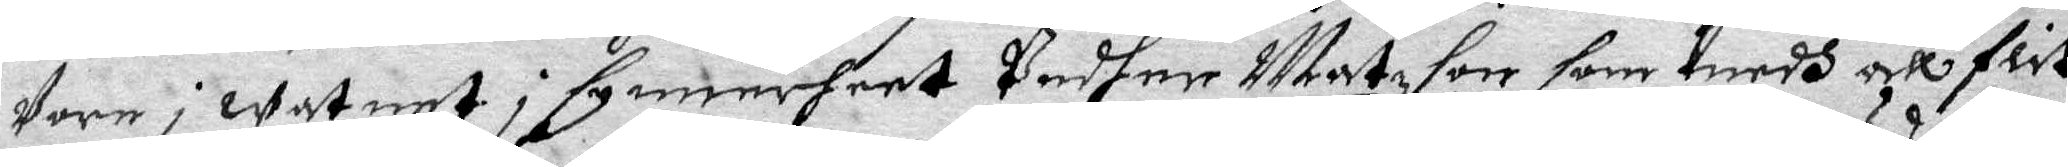vore i watnet i synnerheet Pedher matzson som medh all flit
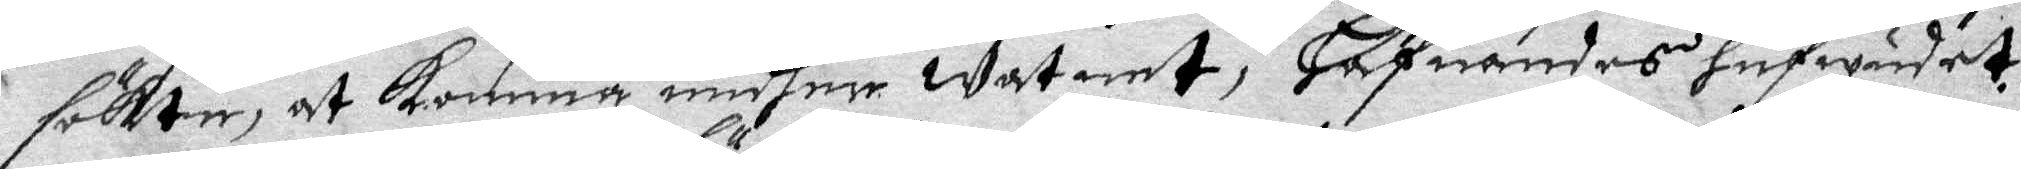sökte, at komma undher watnet, Hafuandes hufwudet
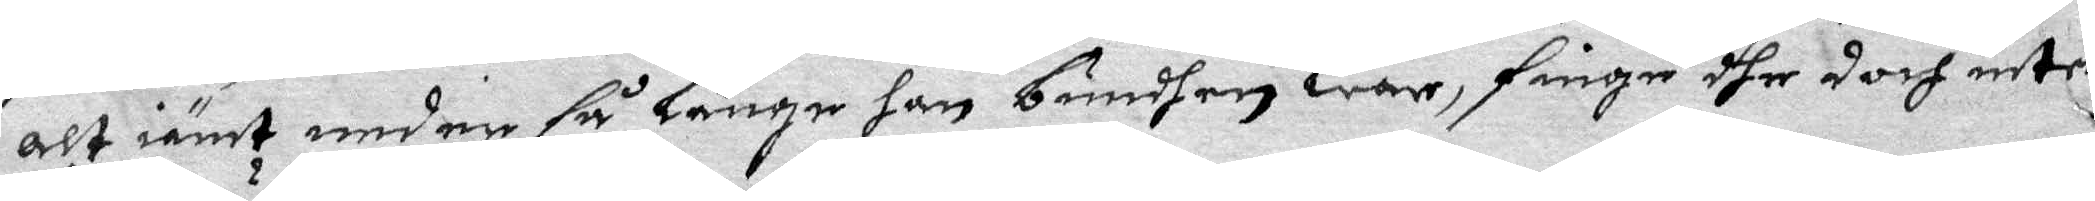alt iämt neder så länge han bundhen war, fingo dher doch intet
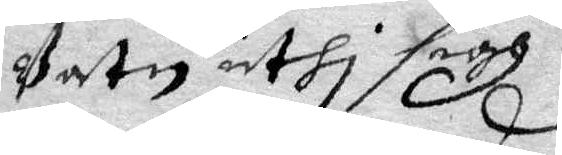Vatn uthi sigh.
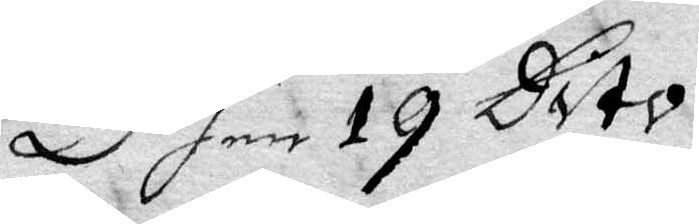Dhen 19 Dito.
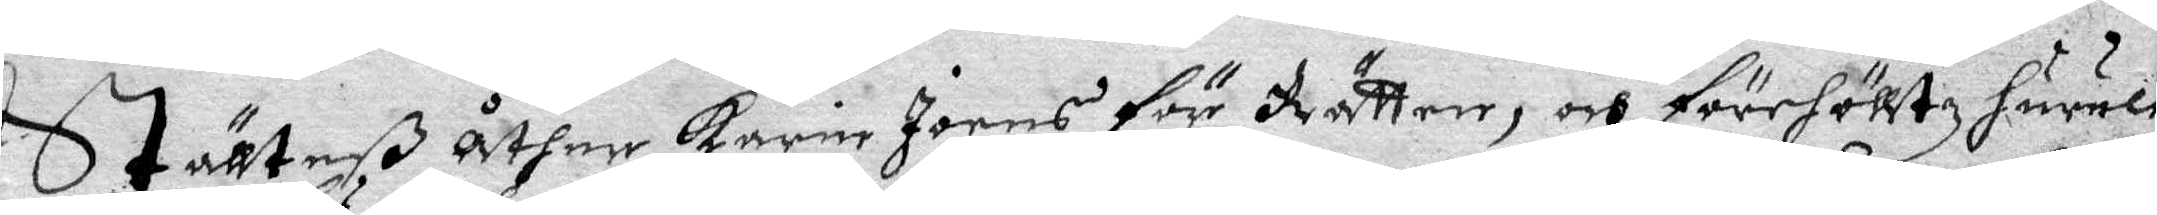Ställteß åther Karin Joens för Rätten, och förhölltz hurule¬
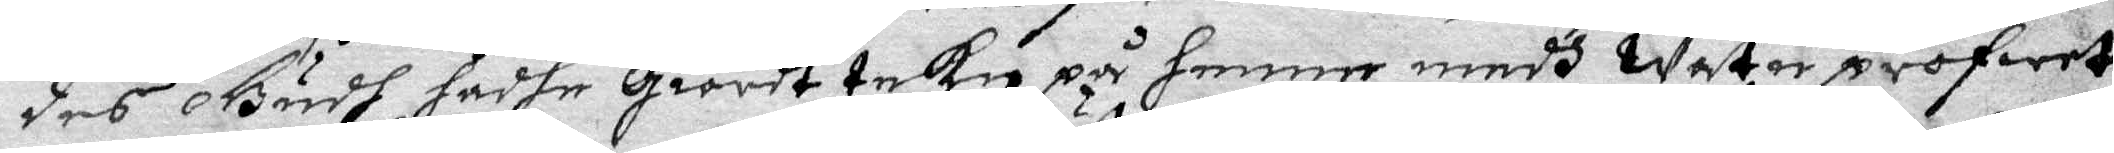des Gudh hadhe Giordt tekn på henne medh watuprofwet
